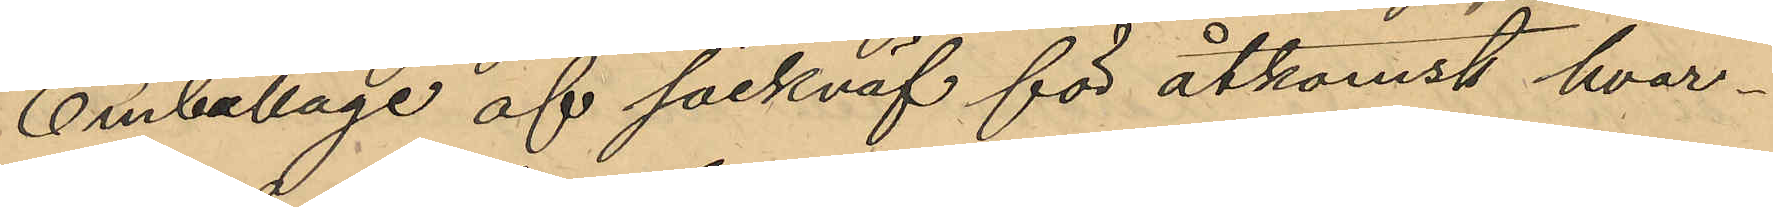Emballage af säckväf för åtkomst hvar¬
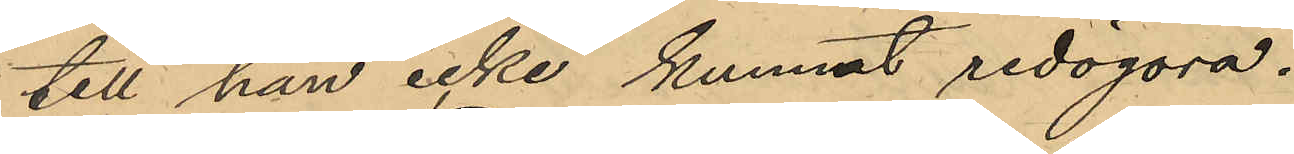till han icke kunnat redogöra.
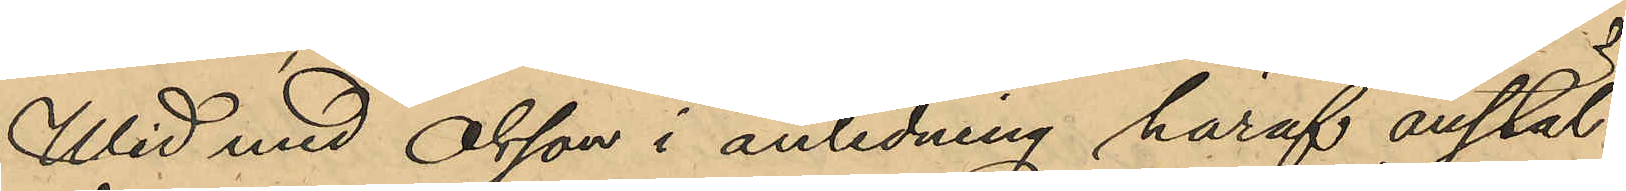Wid med Olsson i anledning häraf anstäl¬
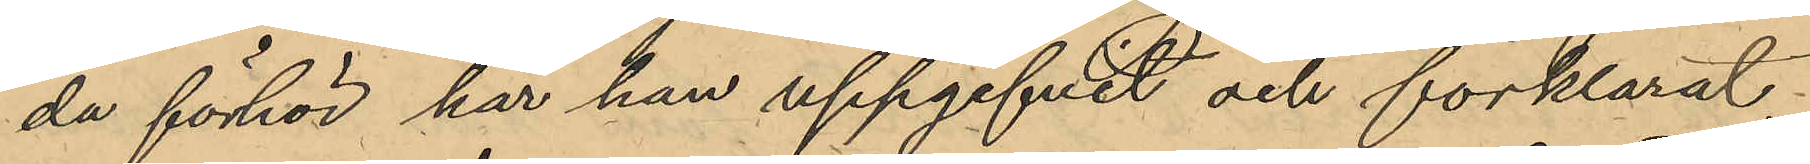da förhör har han uppgifvit och förklarat,
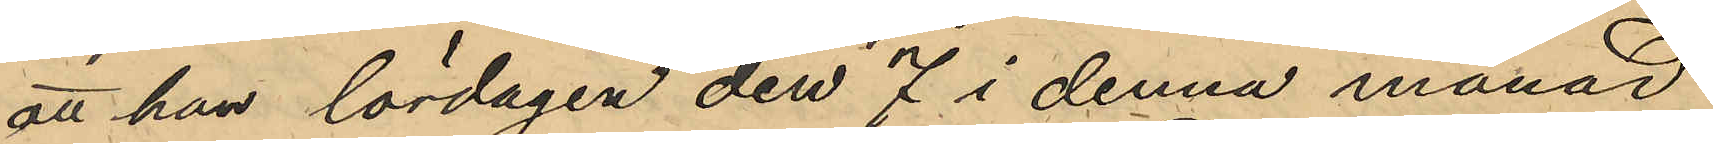att han lördagen den 7 i denna månad
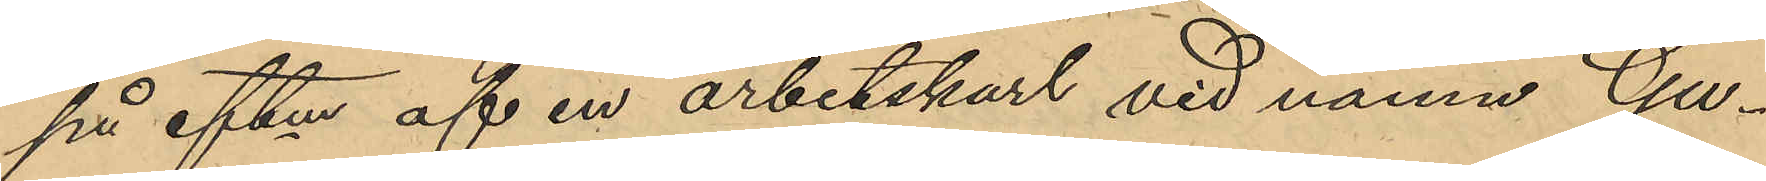på eftm af en arbetskarl vid namn Gu¬
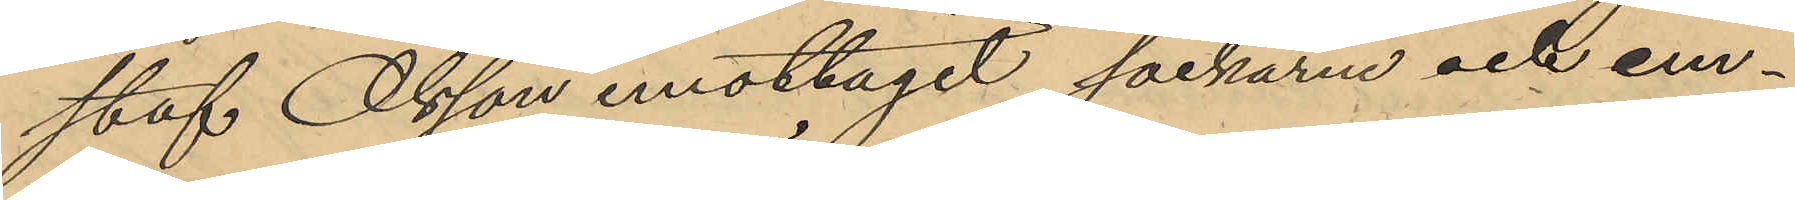staf Olsson emottagit sackarne och em¬
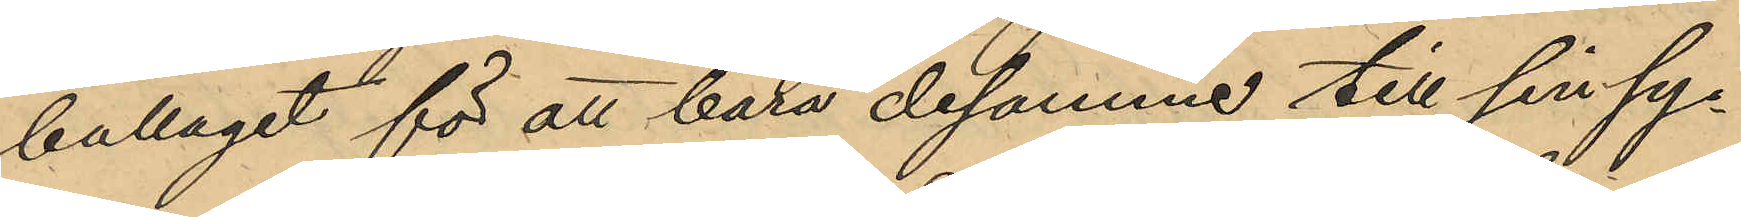ballaget för att bära desamme till sin sy¬
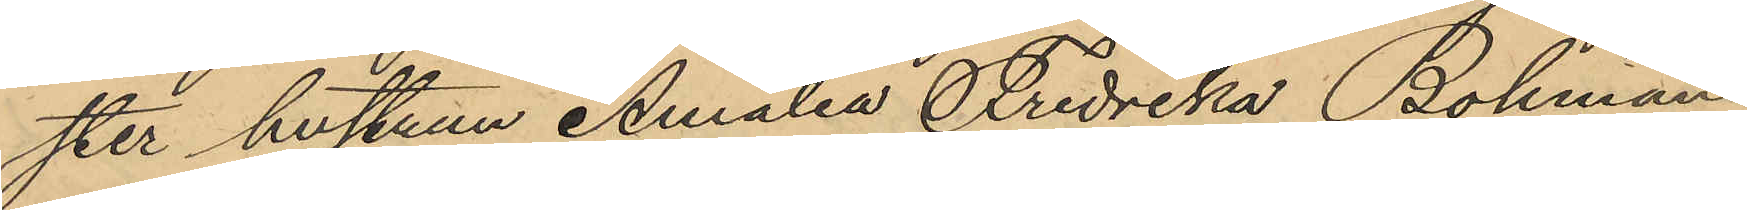ster hustrun Amalia Fredrika Bohman
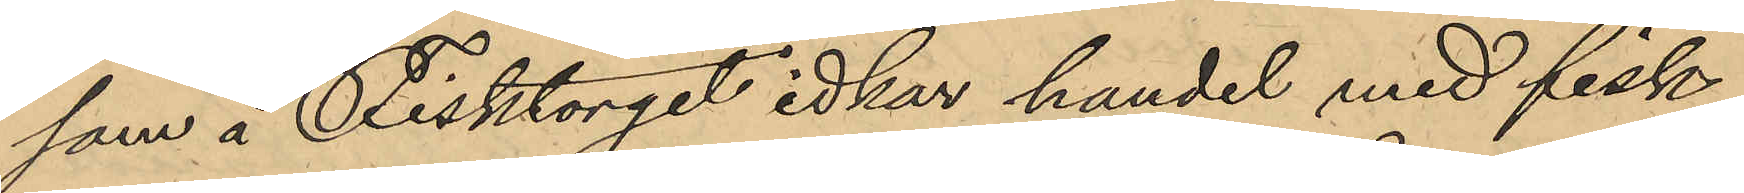som å Fisktorget idkar handel med fisk,
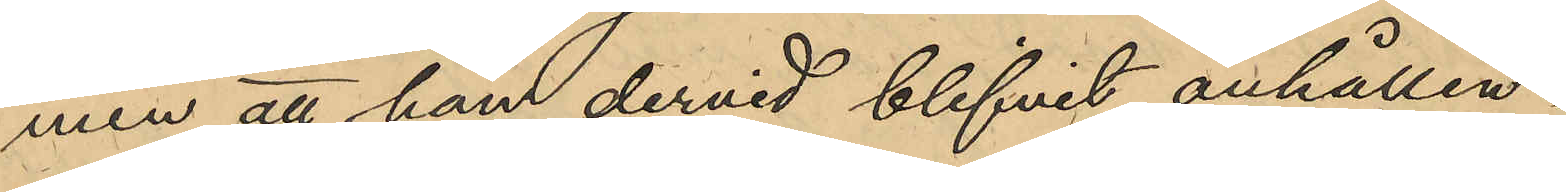men att han dervid blifvit anhållen.
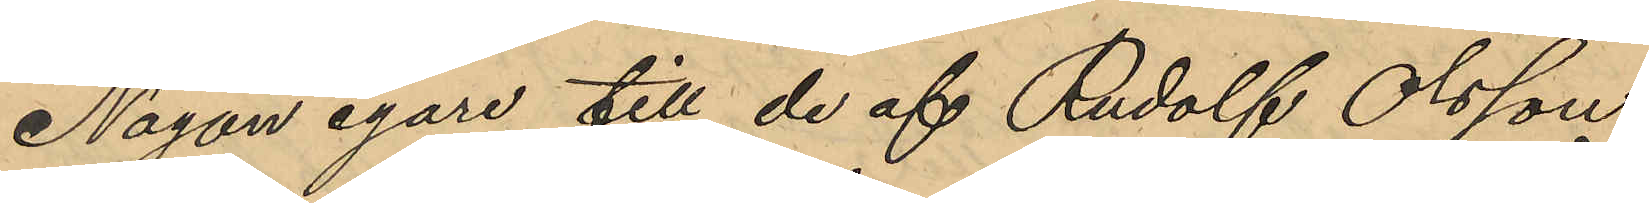Någon egare till de af Rudolf Olsson
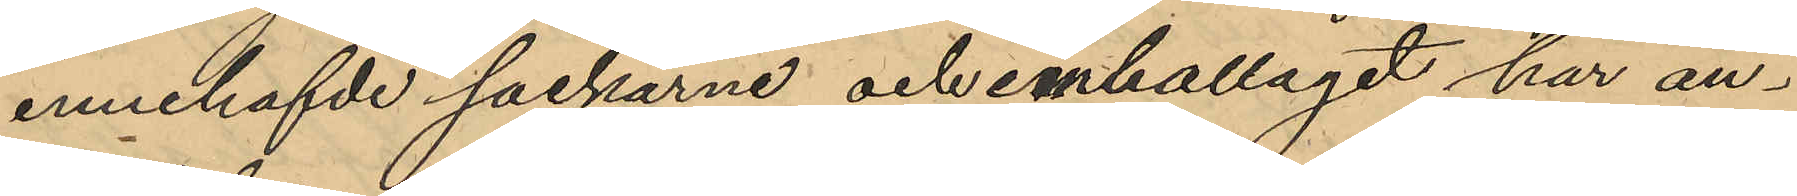innehafde säckarne och emballaget har än¬
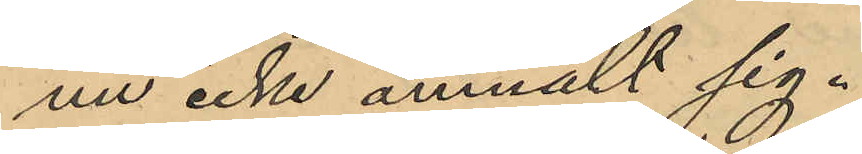nu icke anmält sig.
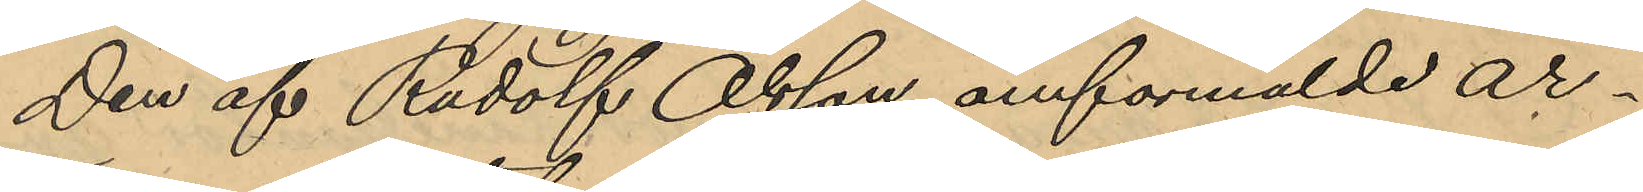Den af Rudolf Olsson omförmälde ar¬
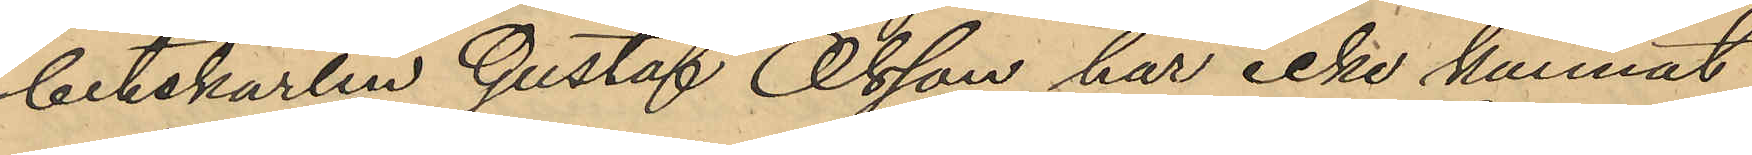betskarlen Gustaf Olsson har icke kunnat
